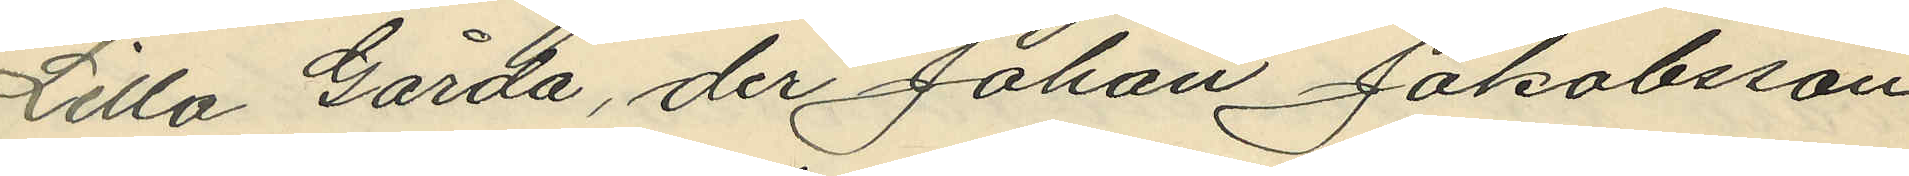Lilla Gårda, der Johan Jakobsson
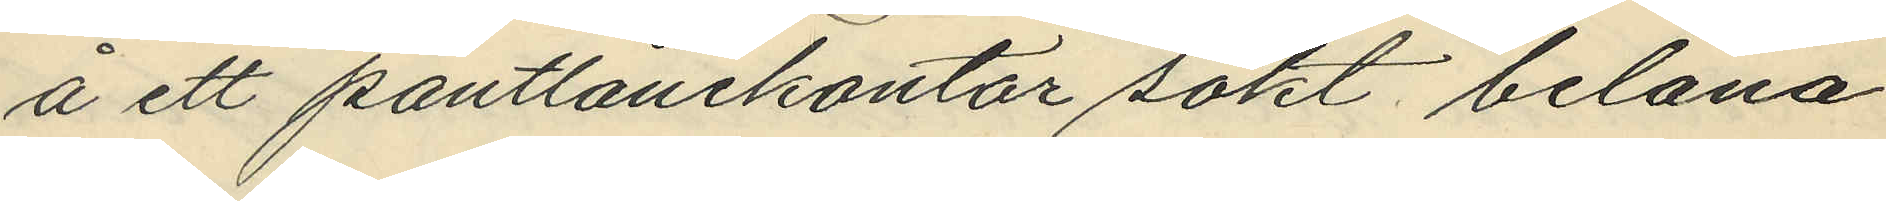å ett pantlånekontor sökt belåna
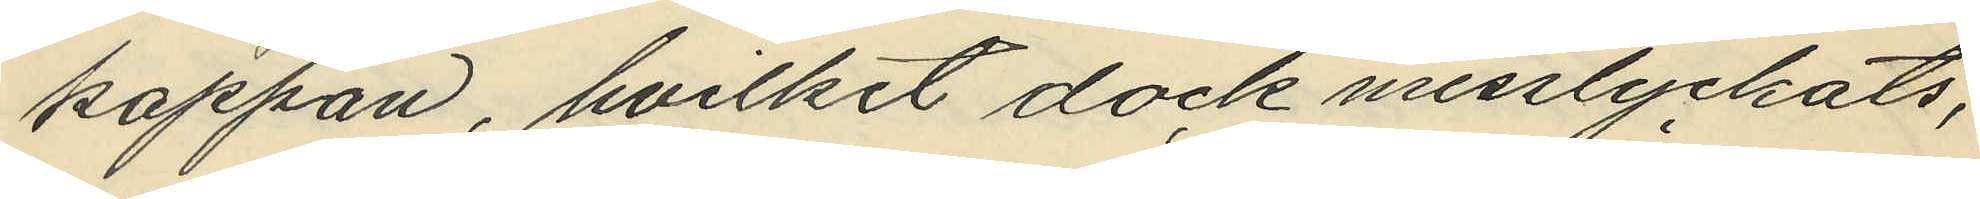kappan, hvilket dock misslyckats,
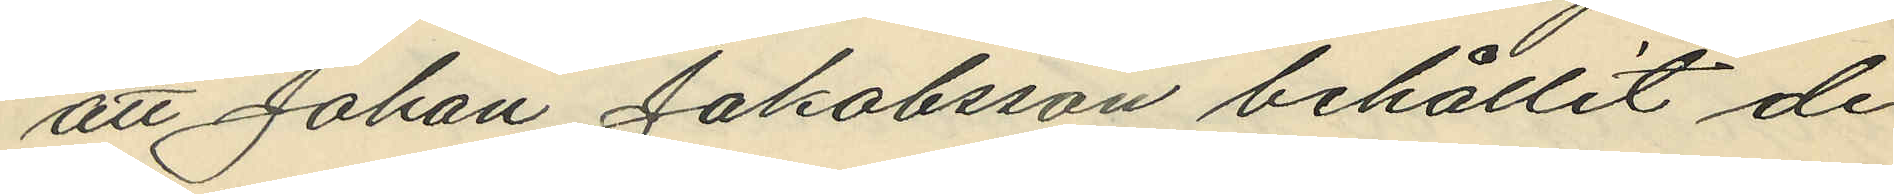att Johan Jakobsson behållit de
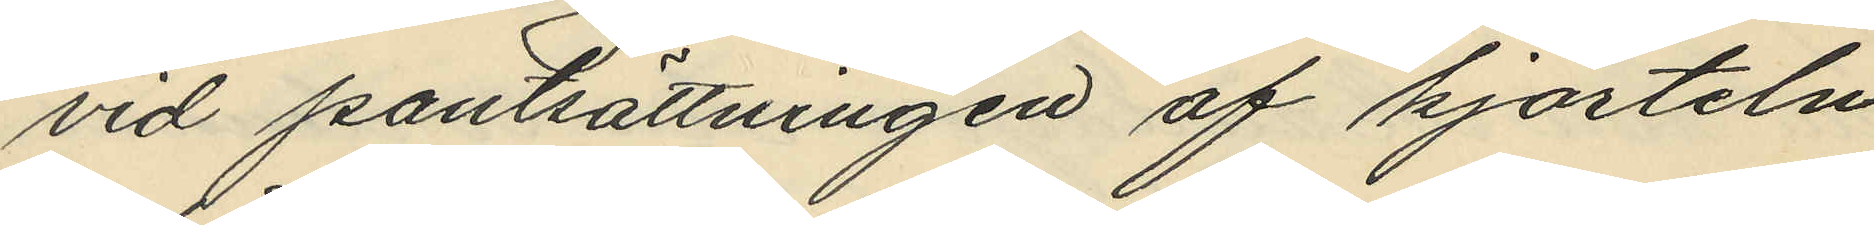vid pantsättningen af kjorteln
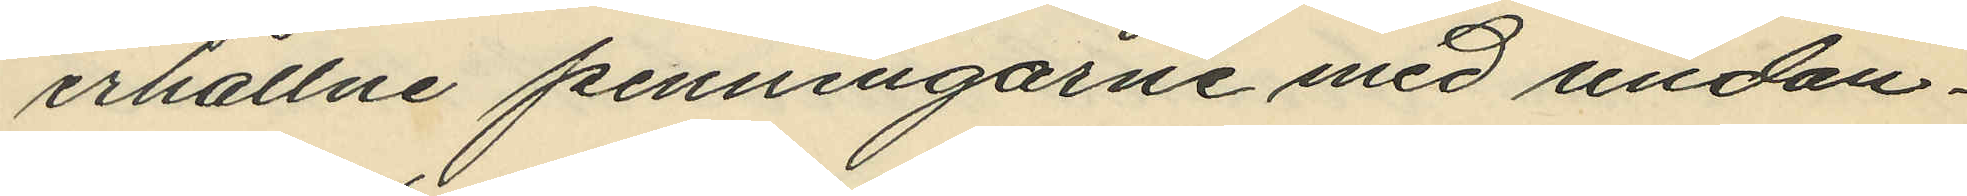erhållne penningarne med undan¬
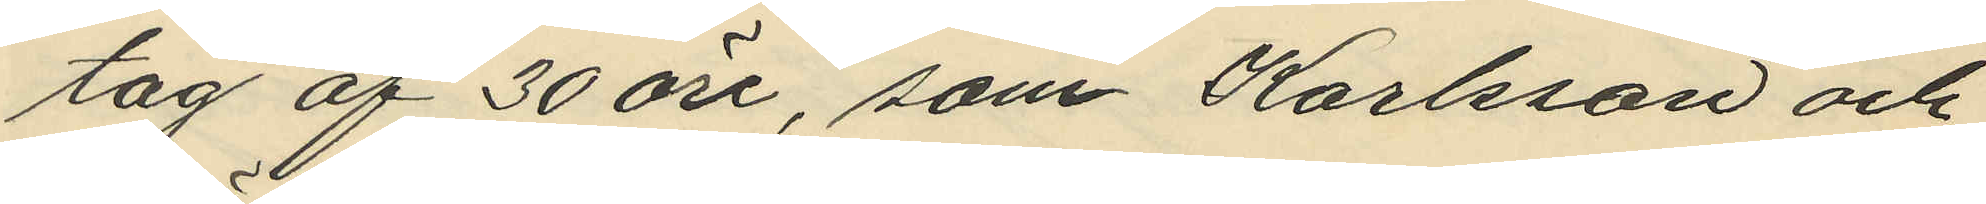tag af 30 öre, som Karlsson och
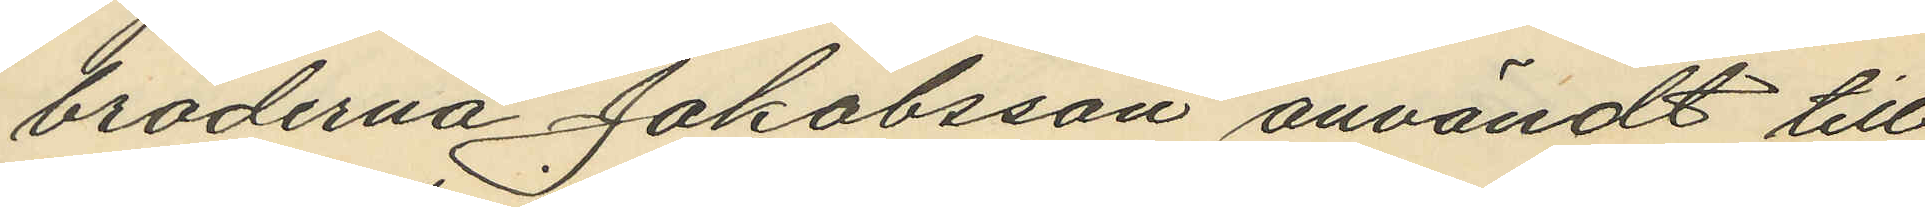bröderna Jakobsson användt till
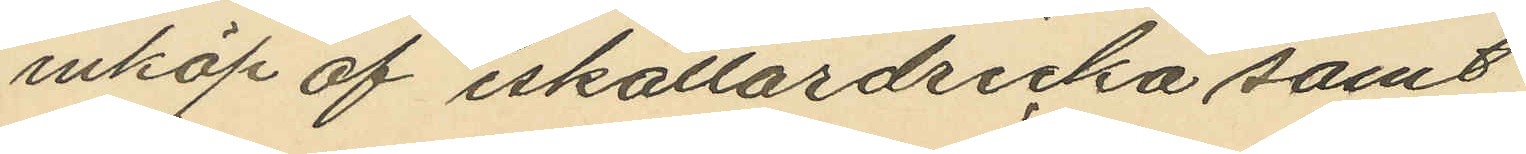inköp av iskällardricka samt
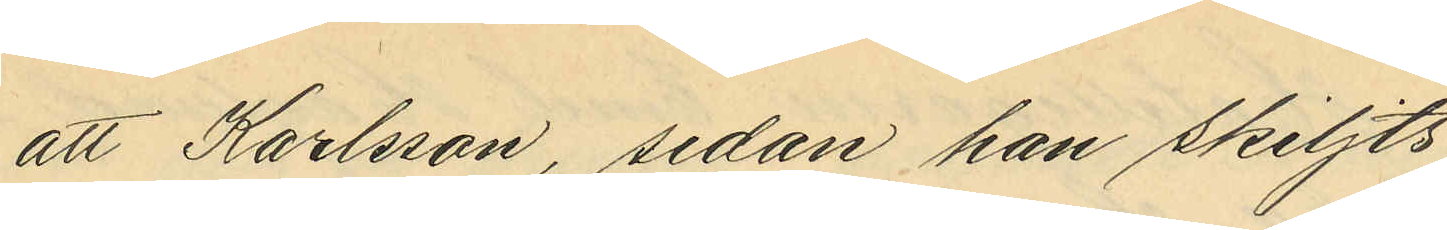att Karlsson, sedan han skiljts
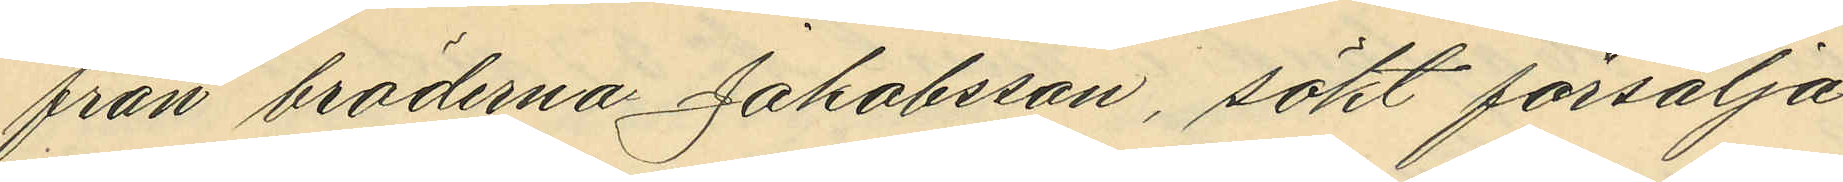från bröderna Jakobsson, sökt försälja
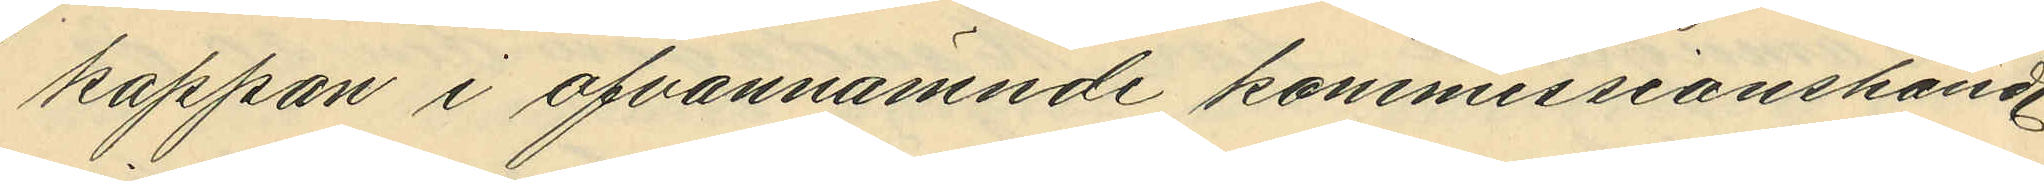kappan i ofvannämnde kommissionshand.
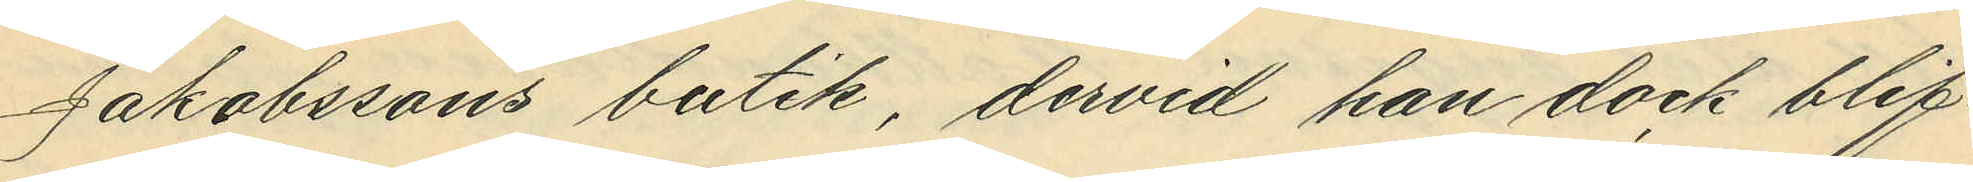Jakobssons butik, dervid han dock blif¬
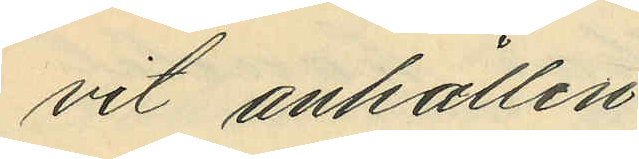vit anhållen.
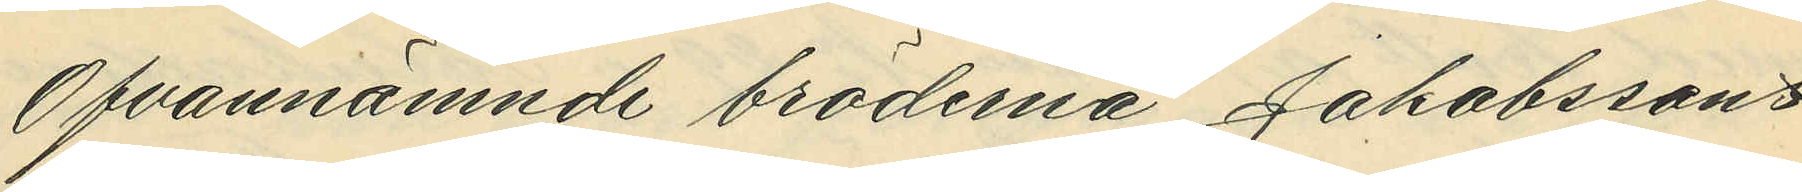Ofvannämnde bröderna Jakobsson
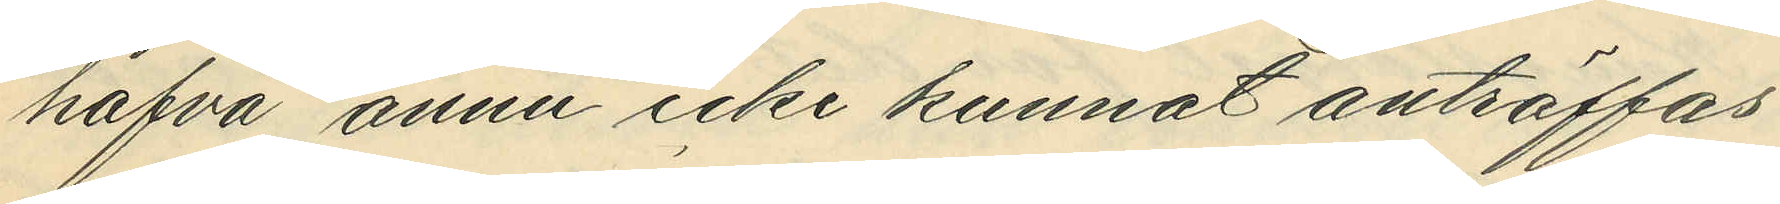hafva ännu icke kunnat anträffas.
